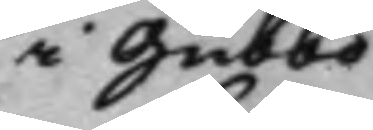i Gubbo
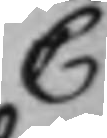C
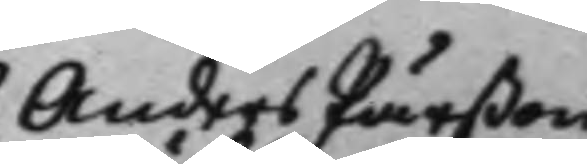Anders Pärßon
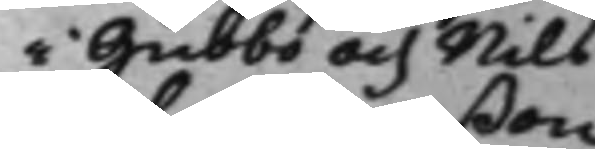i Gubbo och Nils
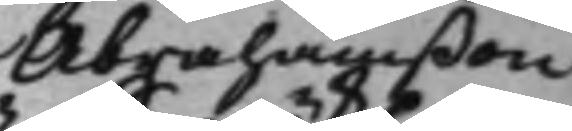Abrahamßon
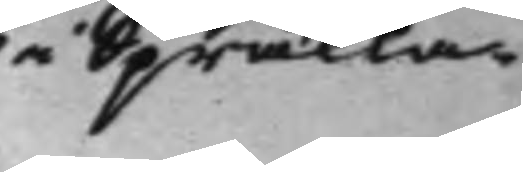i Spräkla.
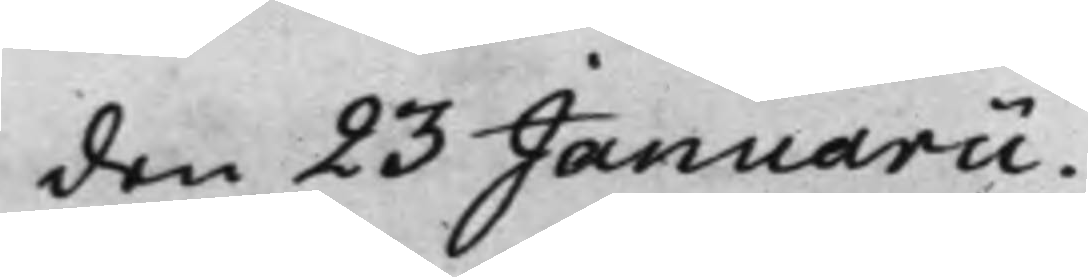den 23 Januarii.
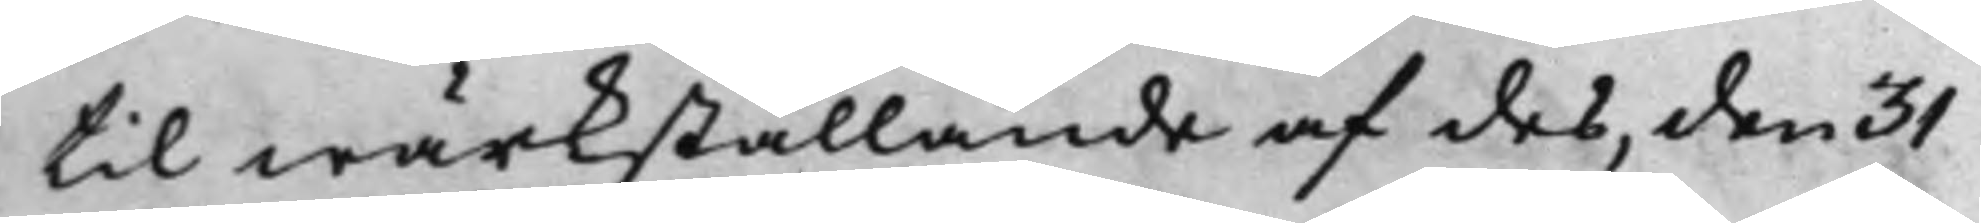til wärkställande af des, den 31
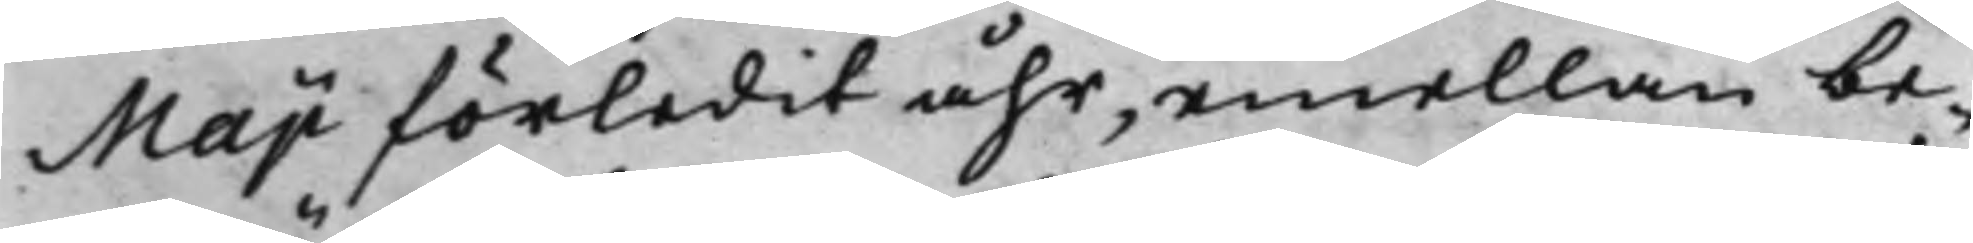Maji förledit åhr, emellan be¬
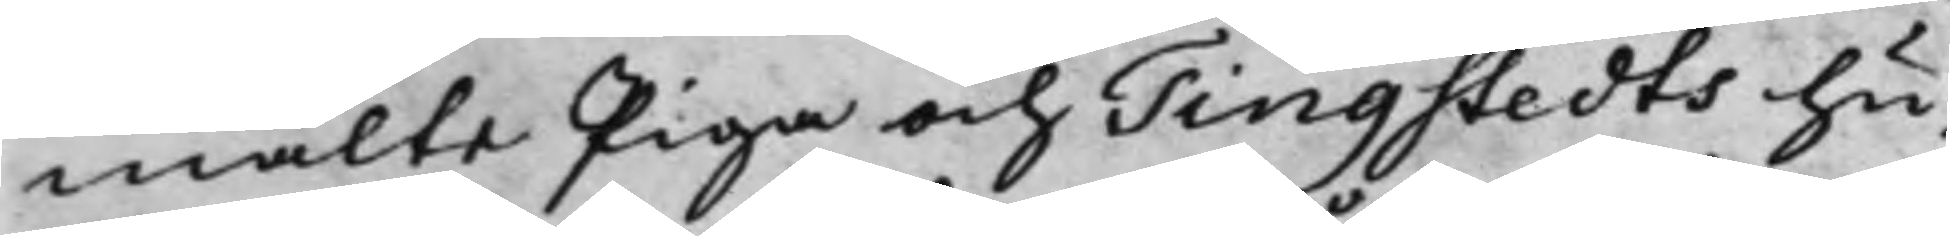mälte Piga och Tingstedts hu¬
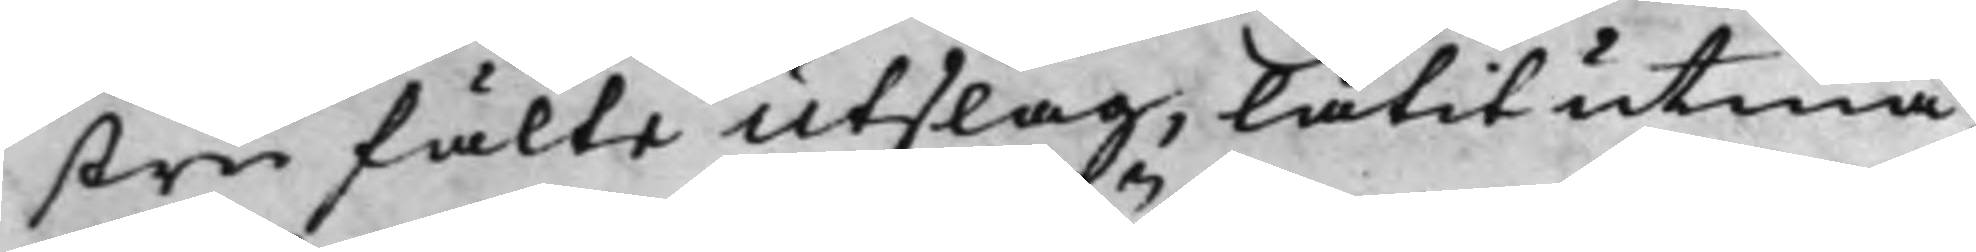stru fälte Utslag, låtit utmä¬
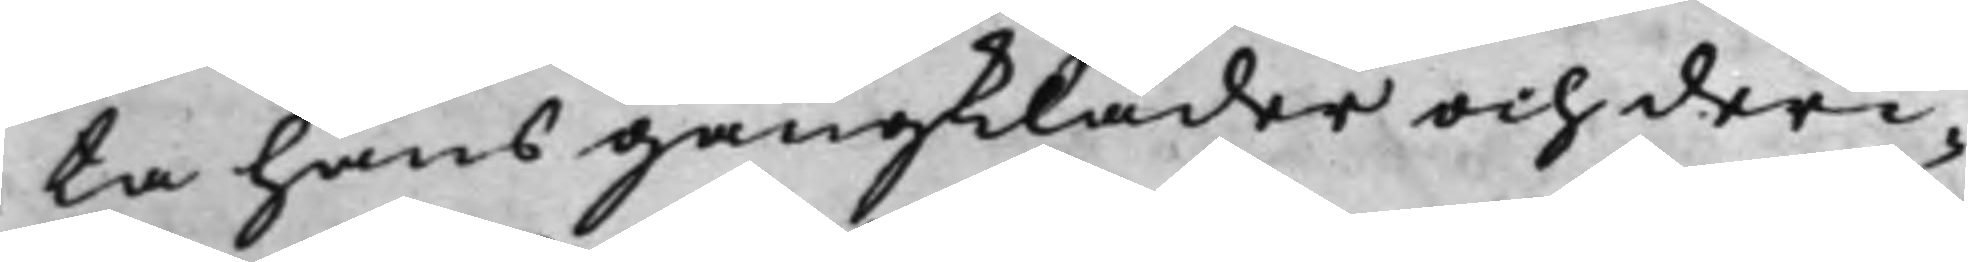ta hans gångkläder och deri¬
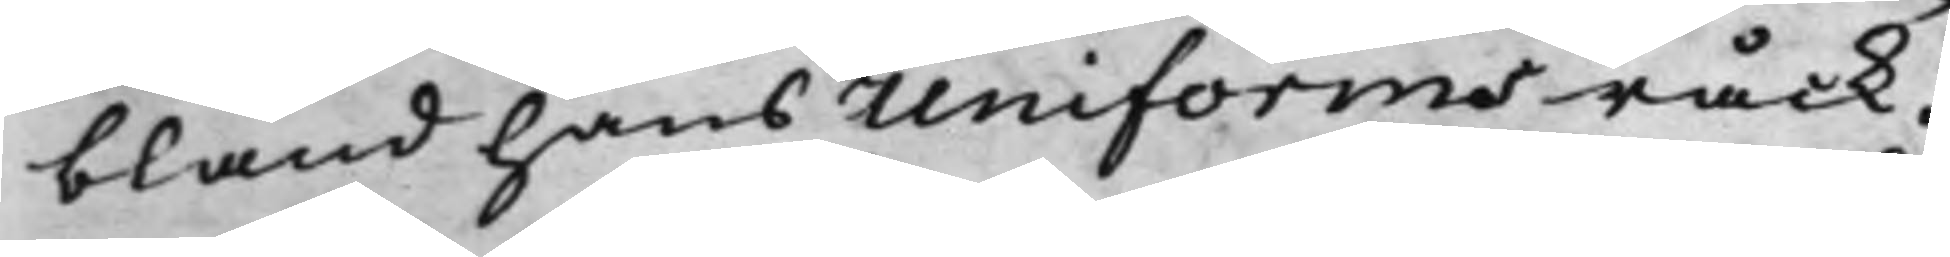bland hans Uniforms råck.
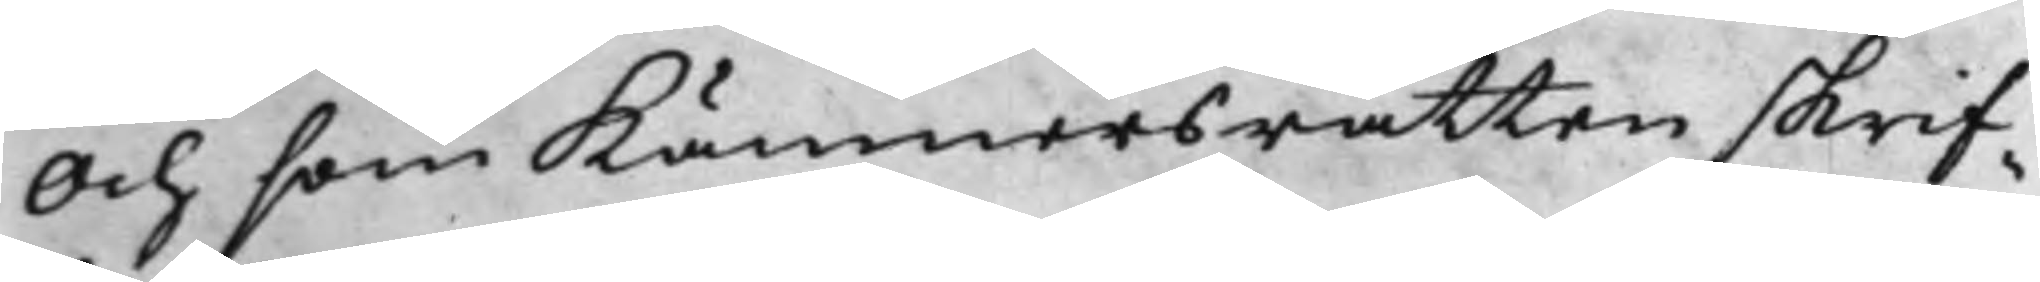Och som Kämnersrätten skrif¬
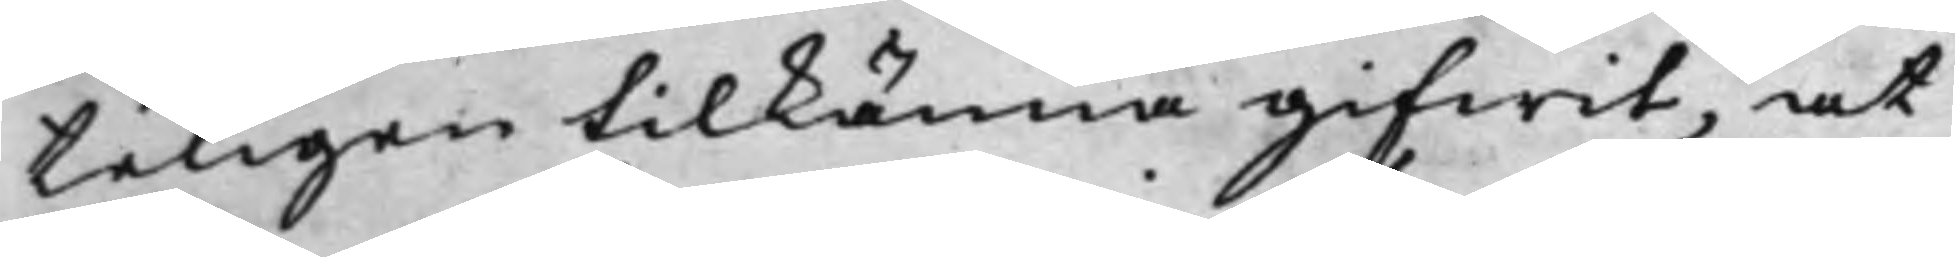teligen tilkänna gifwit, at
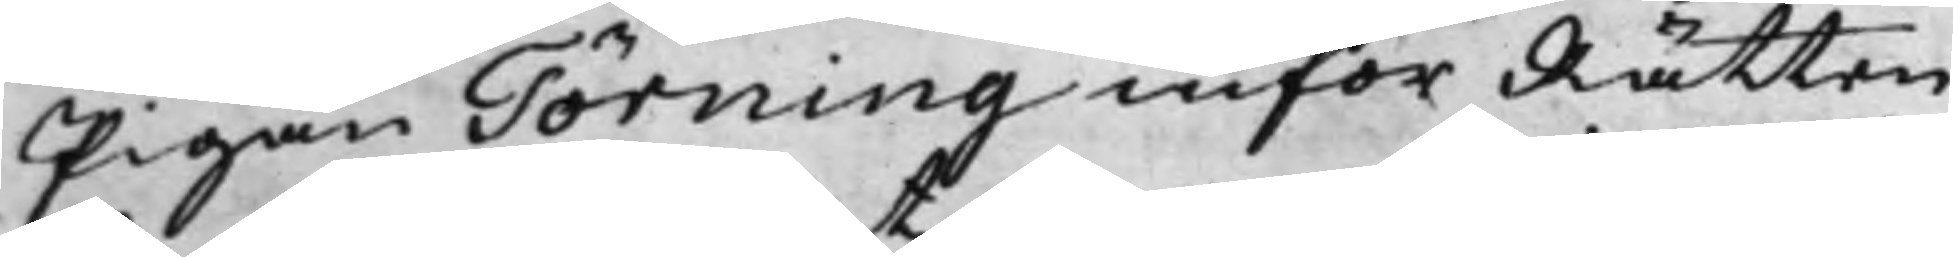Pigan Törning inför Rättern
